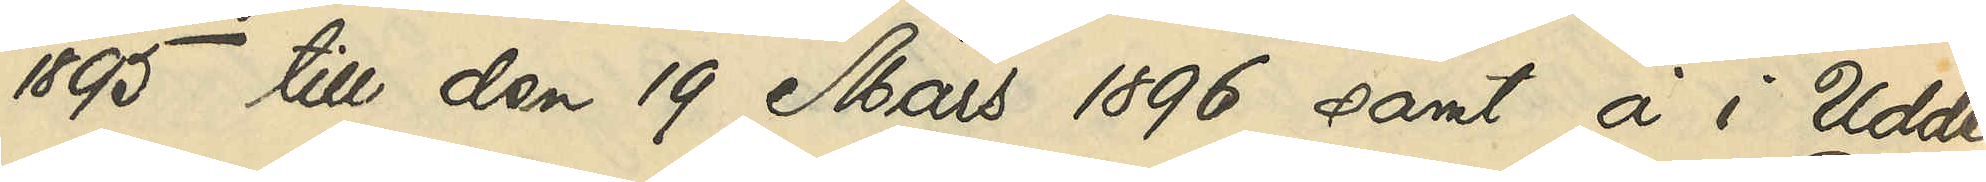1895 till den 19 Mars 1896 samt å i Udde¬
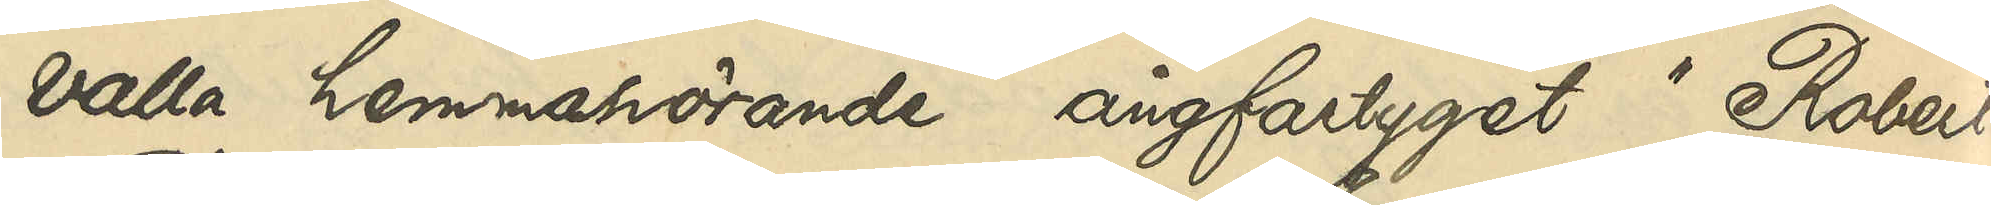valla hemmahörande ångfartyget "Robert
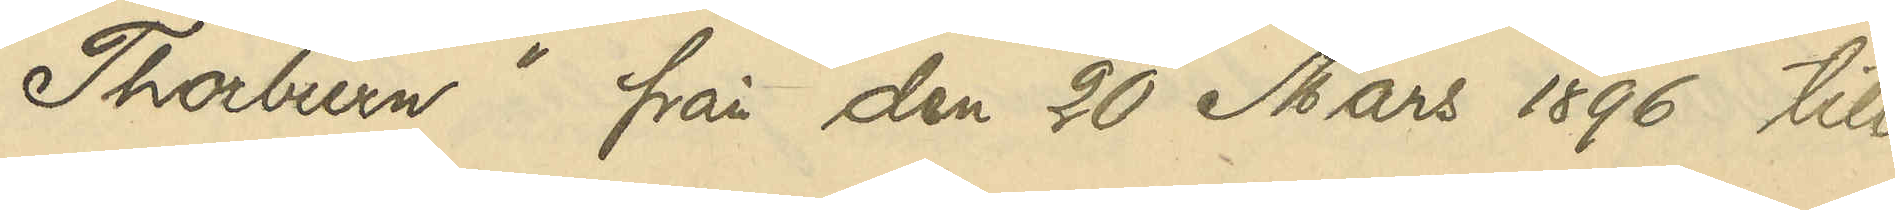Thoburn" från den 20 Mars 1896 till
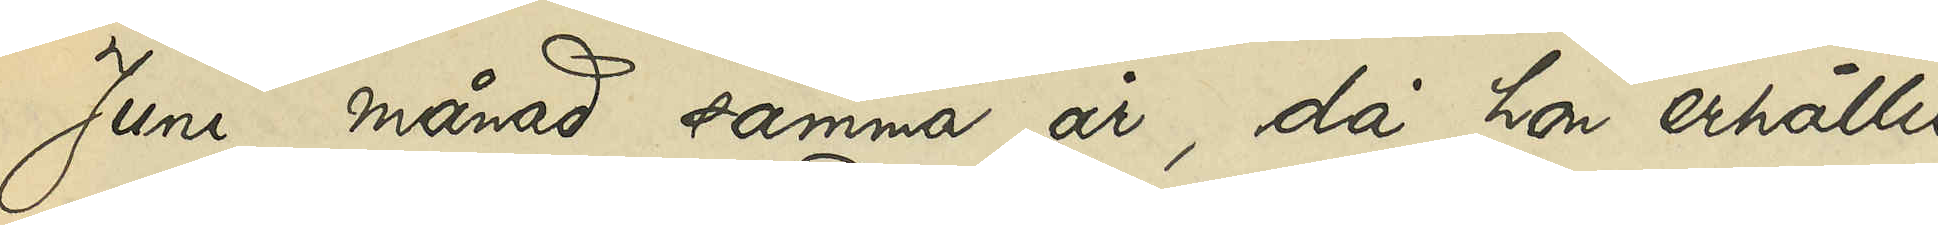Juni månad samma år, då hon erhållit
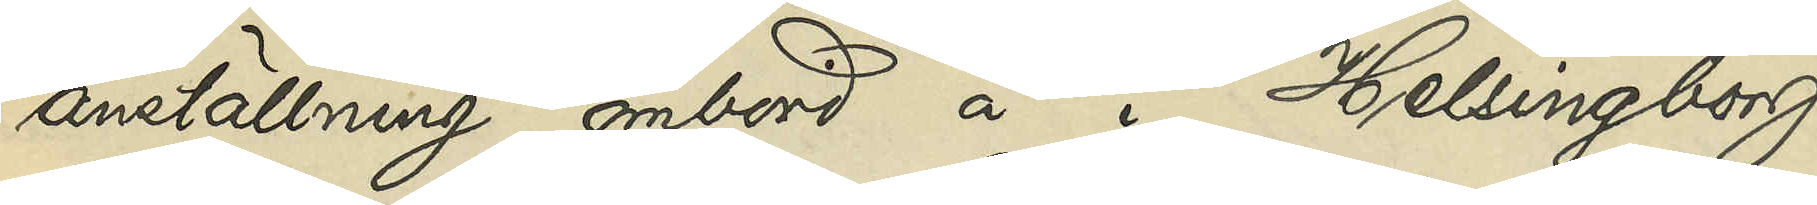anställning ombord å i Helsingborg
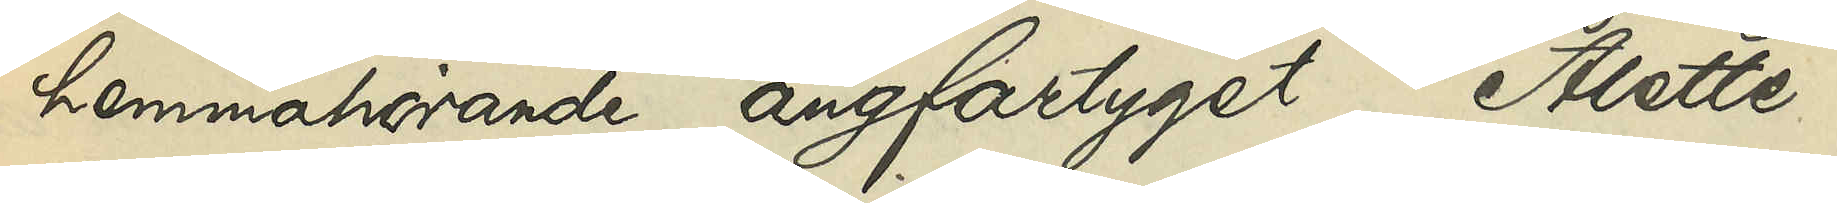hemmahörande ångfartyget "Alette",
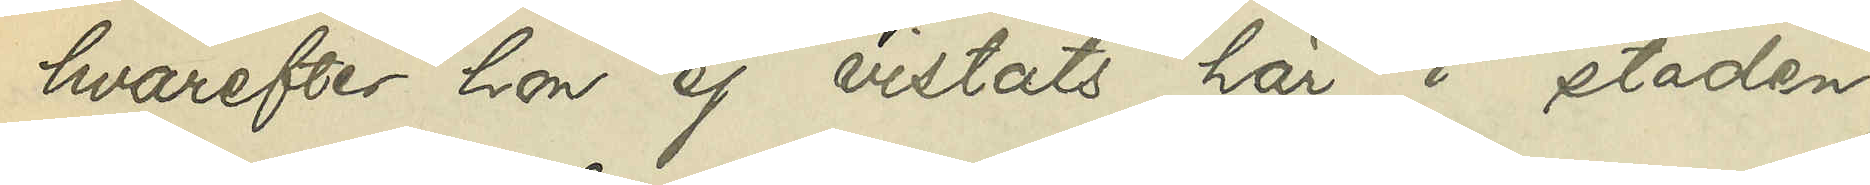hvarefter hon ej vistats här i staden;
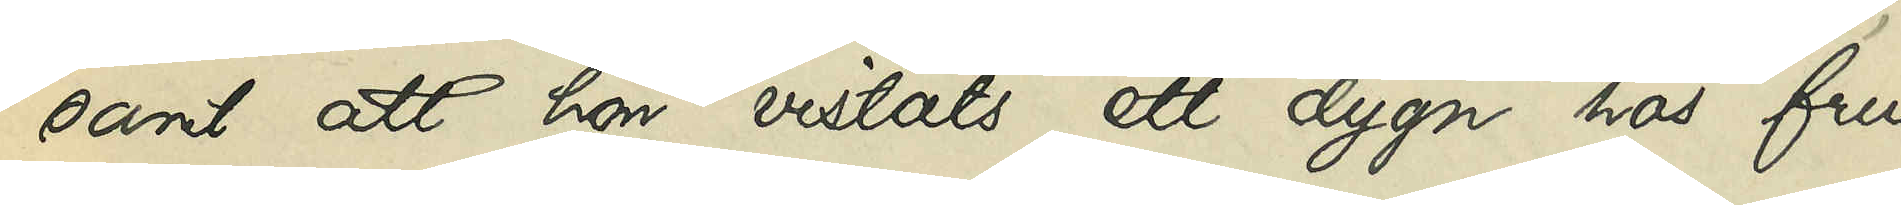samt att hon vistats ett dygn hos fru
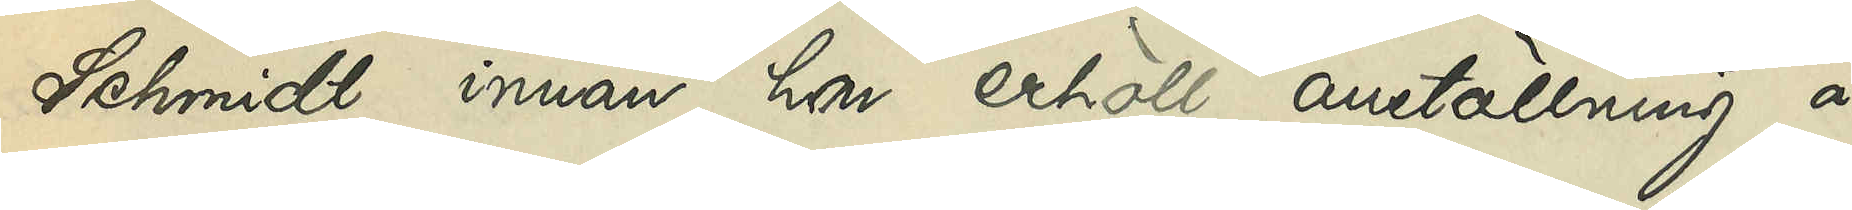Schmidt innan hon erhöll anställning å
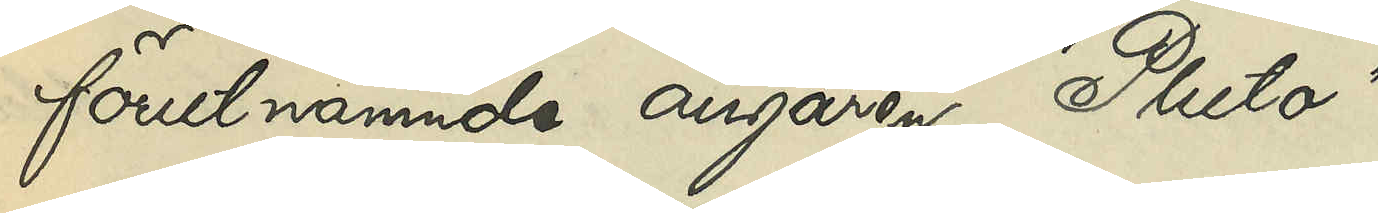förutnämnde ångaren "Pluto".
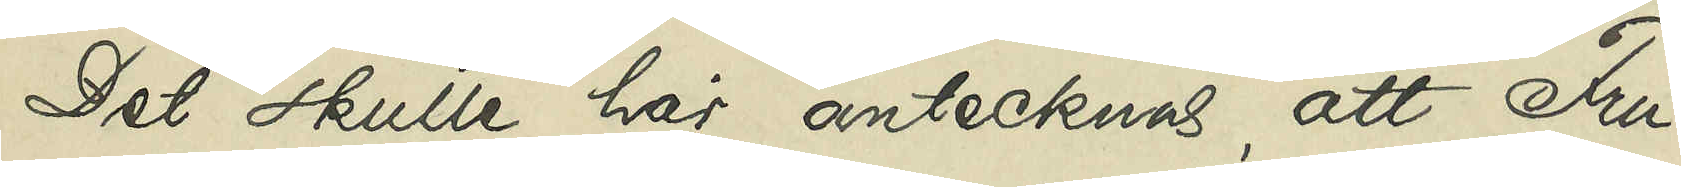Det skulle här antecknas, att Fru
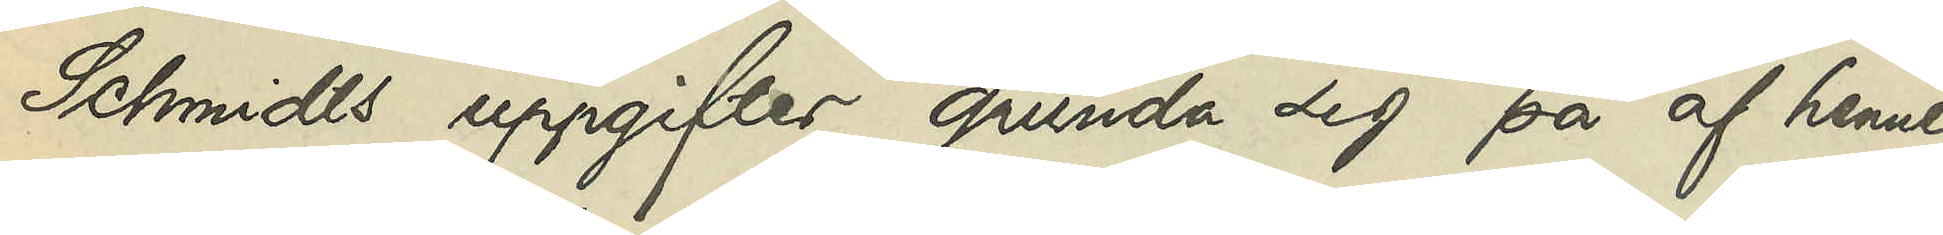Schmidts uppgifter grunda sig på af henne
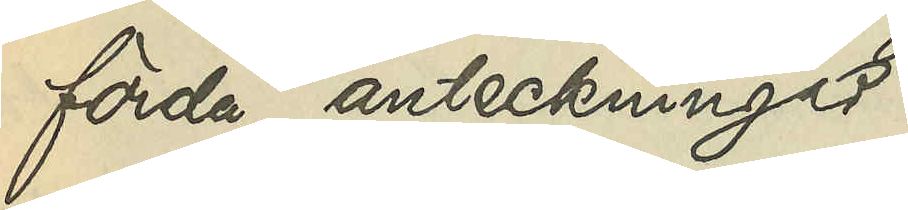förda anteckningar.
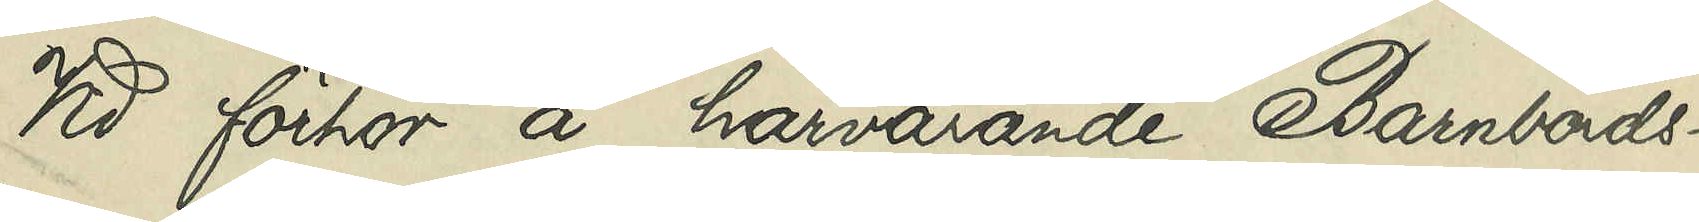Vid förhör å härvarande Barnbörds¬
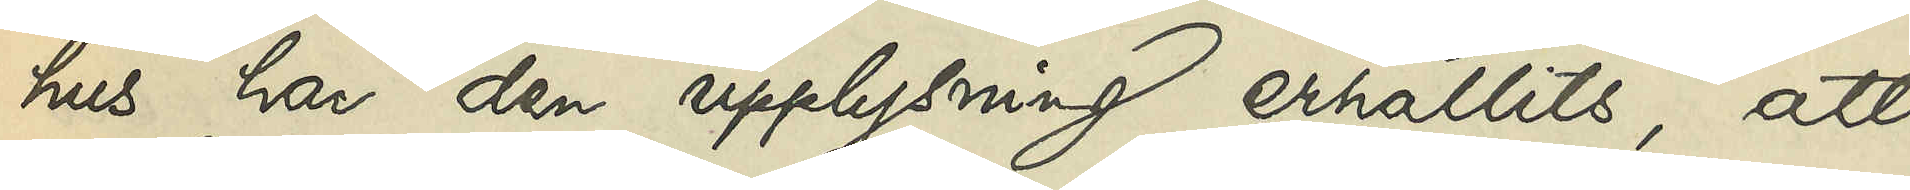hus har den upplysning erhållits, att
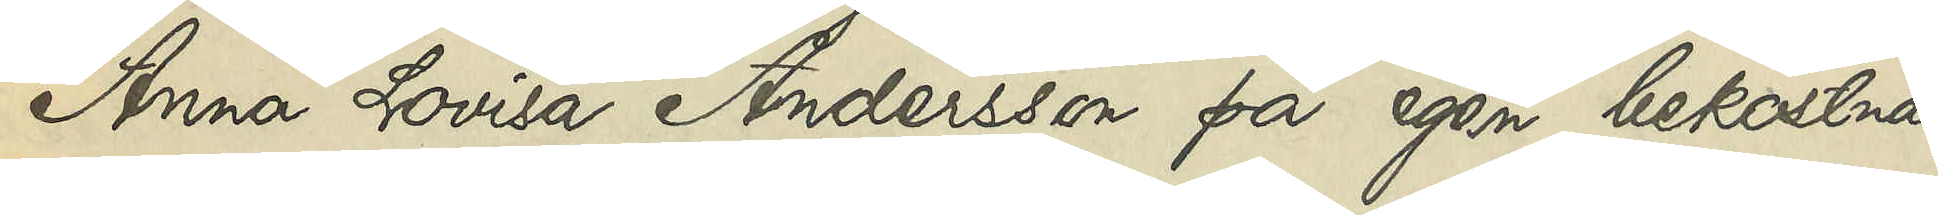Anna Lovisa Andersson på egen bekostnad
